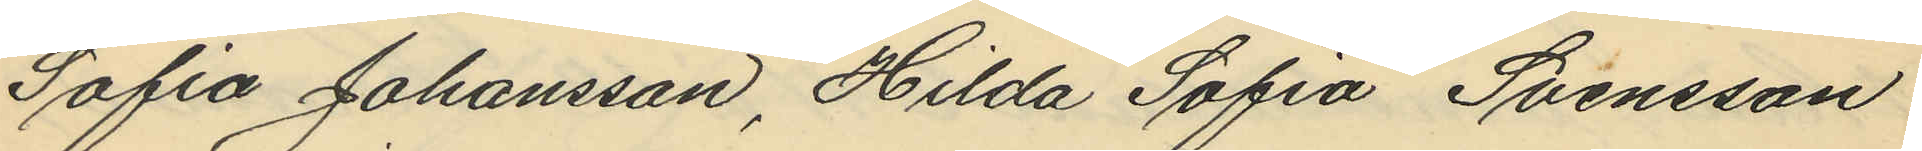Sofia Johansson, Hilda Sofia Svensson
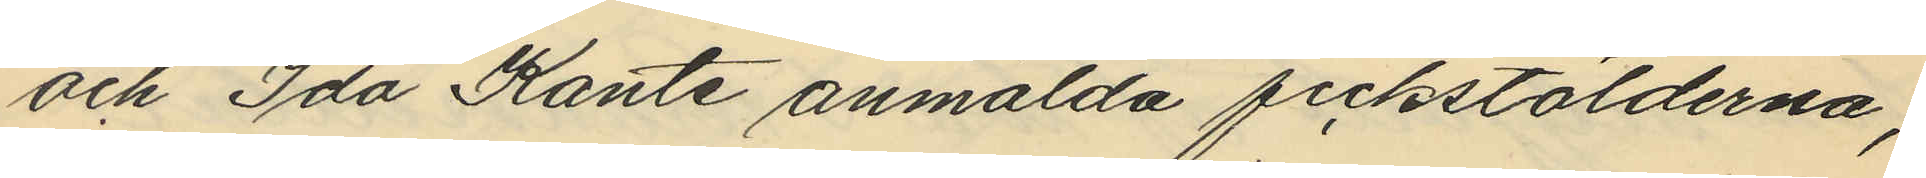och Ida Kante anmälda fickstölderna,
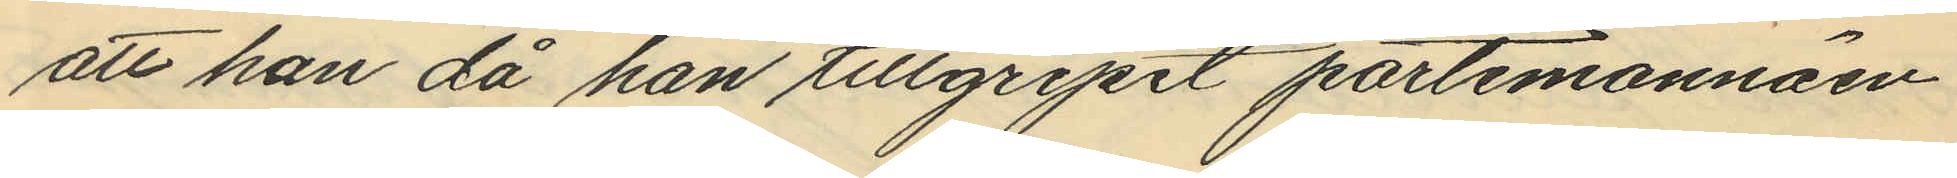att han då han tillgripit portemonnäen
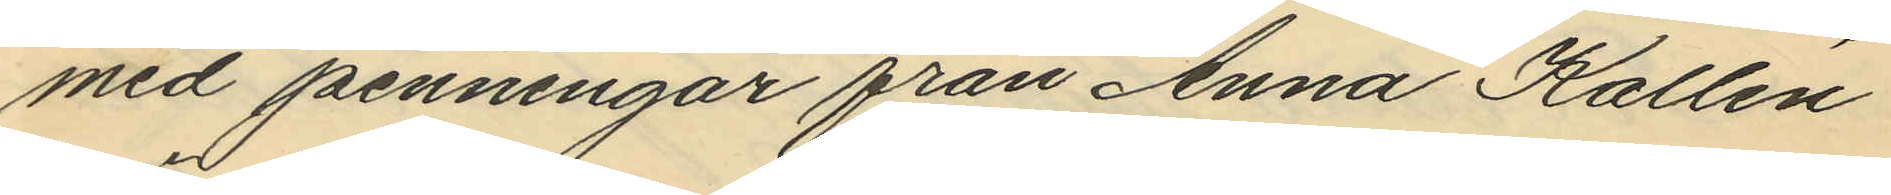med penningar från Anna Kallén
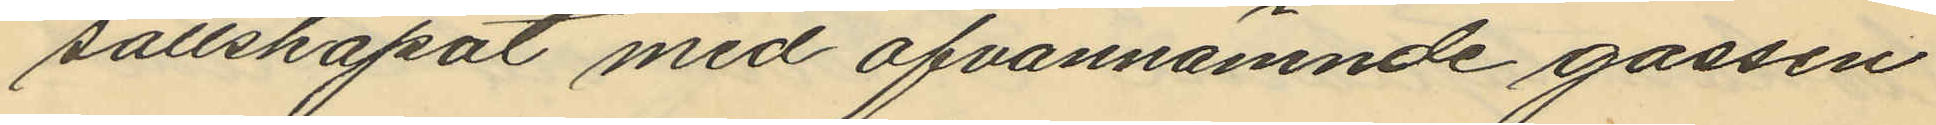sällskapat med ofvannämnde gossen
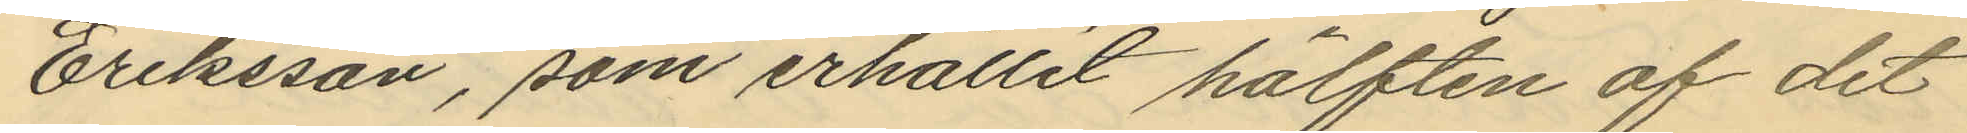Eriksson, som erhållit hälften af det
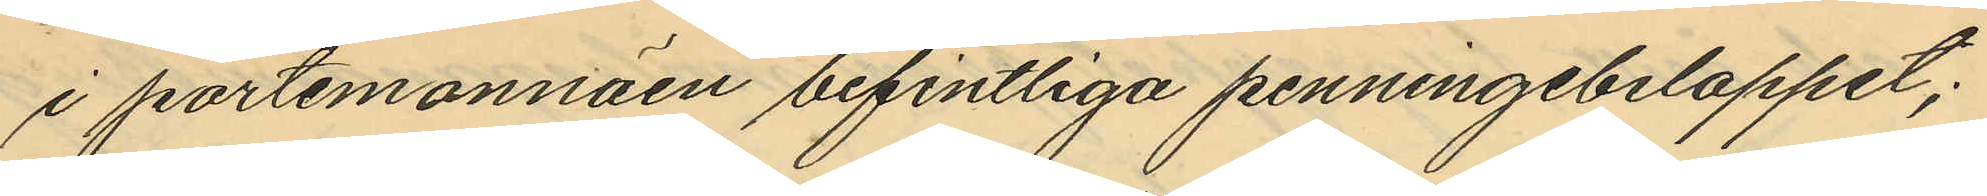i portemonnäen befintliga penningebeloppet;
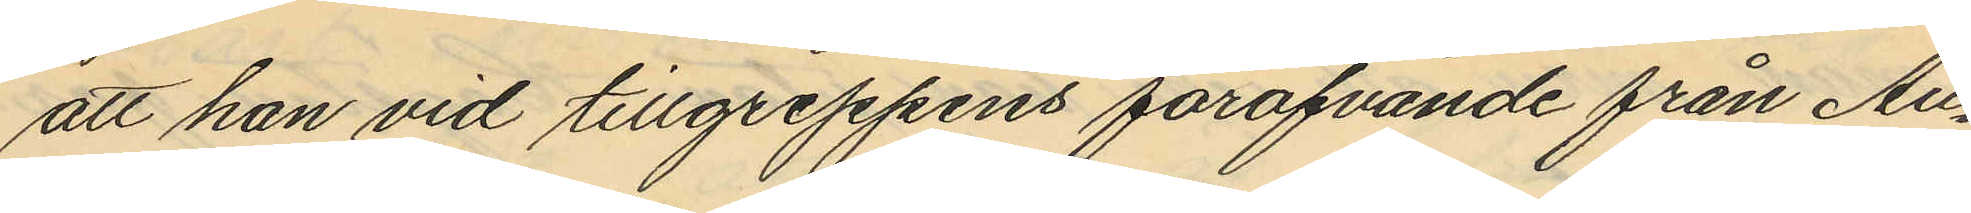att han vid tillgreppens föröfvande från Au¬
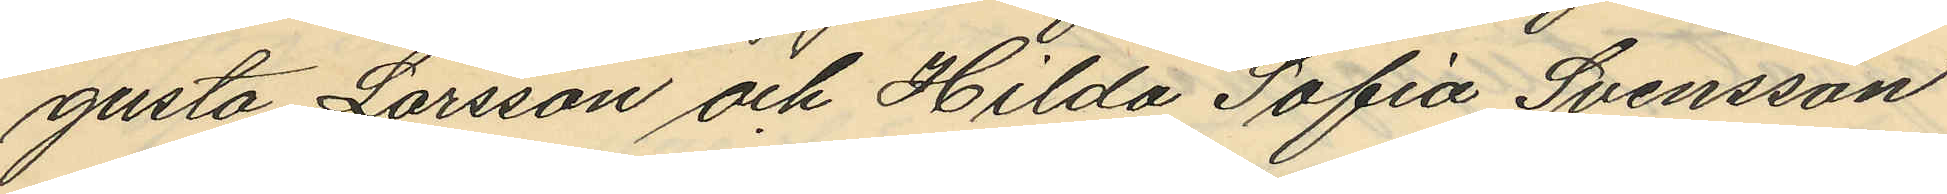gusta Larsson och Hilda Sofia Svensson
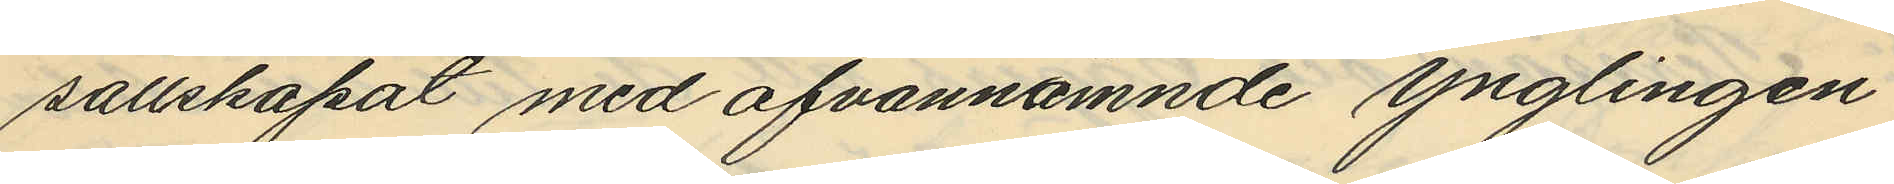sällskapat med ofvannämnde ynglingen
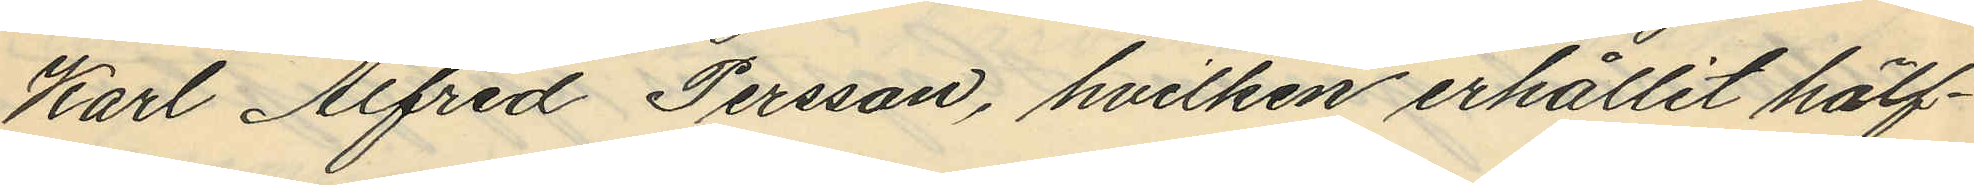Karl Alfred Persson, hvilken erhållit hälf¬
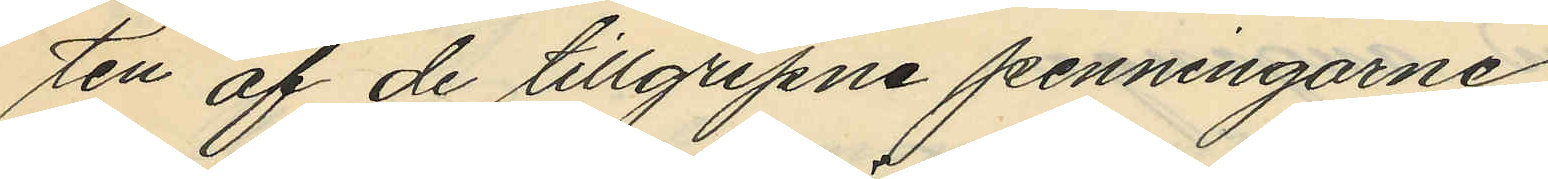ten af de tillgripne penningarne;
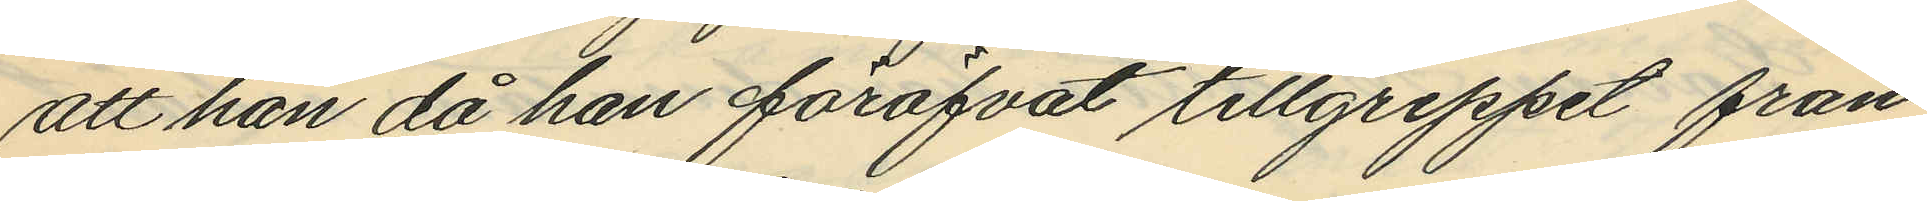att han då han föröfvat tillgreppet från
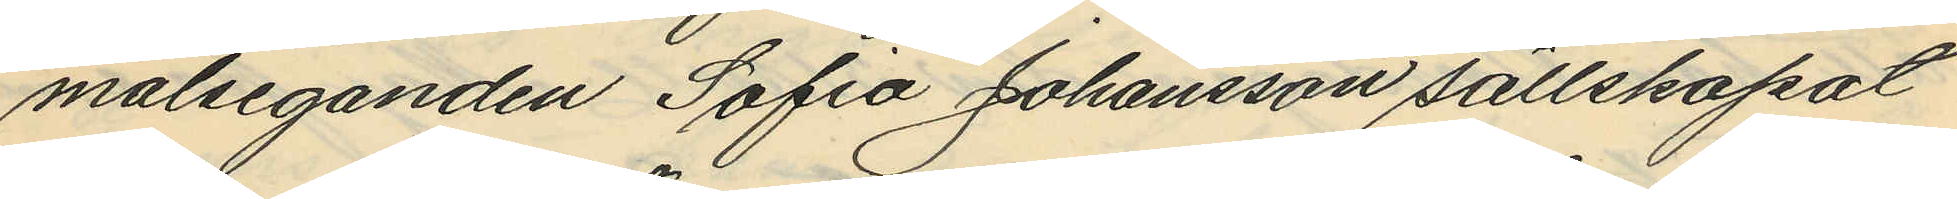målseganden Sofia Johansson sällskapat
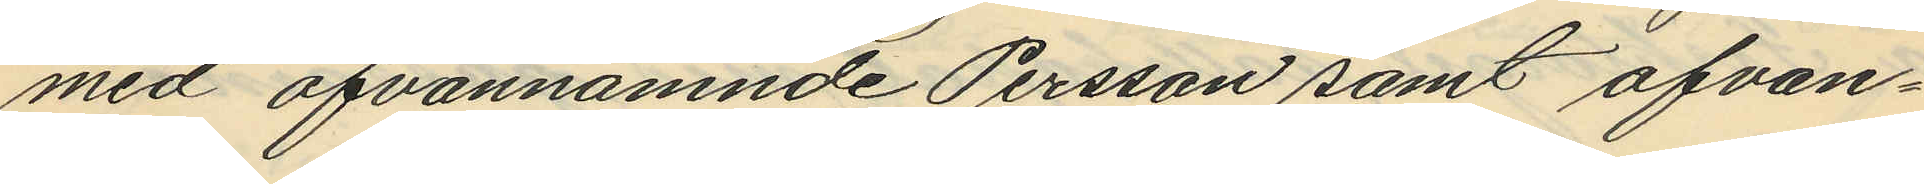med ofvannämnde Persson samt ofvan¬
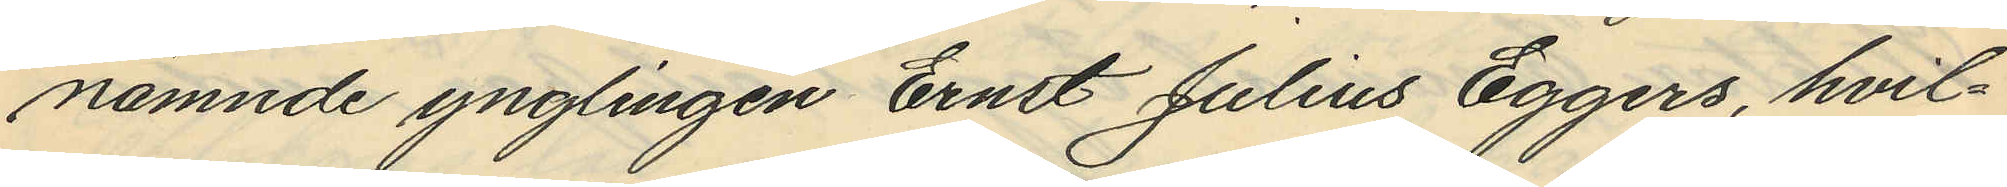nämnde ynglingen Ernst Julius Eggers, hvil¬
